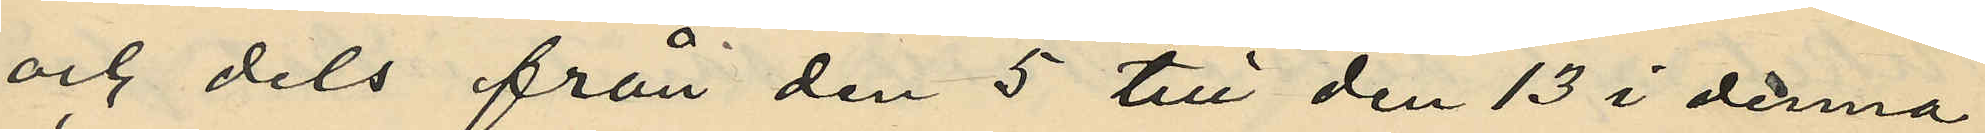och dels från den 5 till den 13 i denna
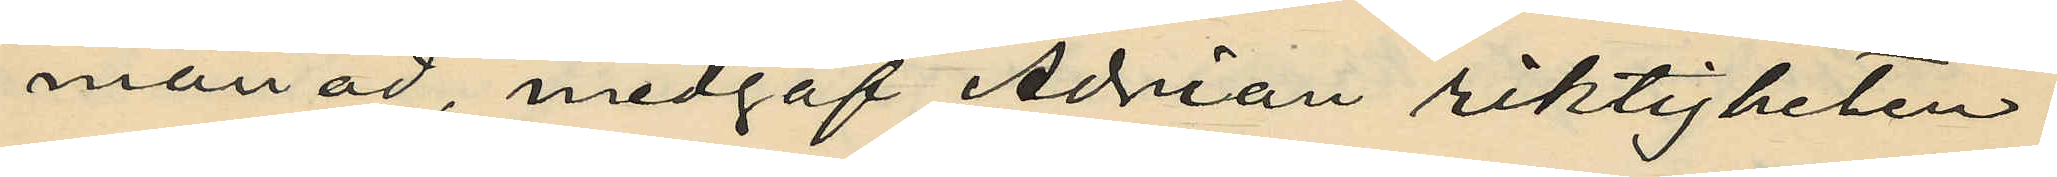månad, medgaf Adrian riktigheten
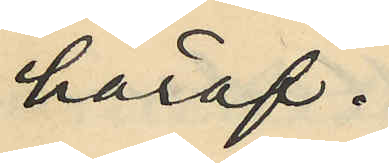häraf.
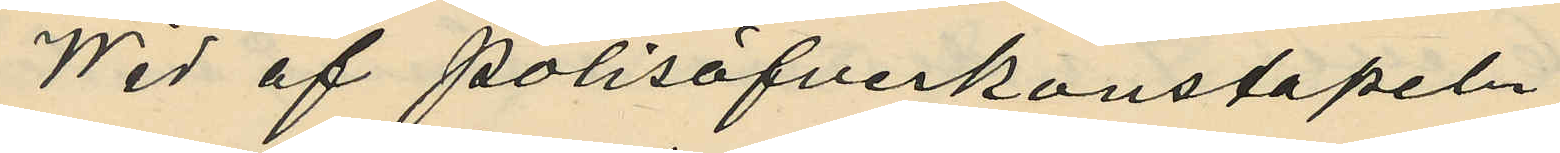Wid af polisöfverkonstapeln
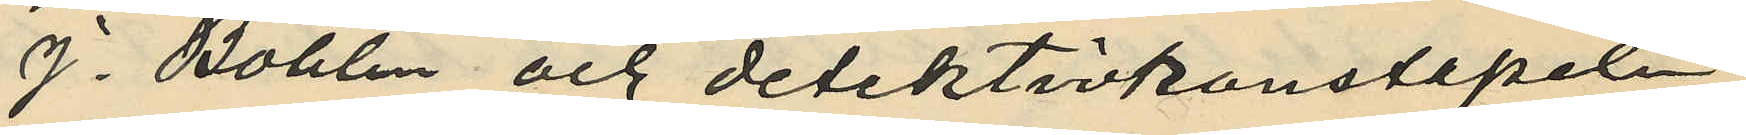J. Bohlin och detektivkonstapeln
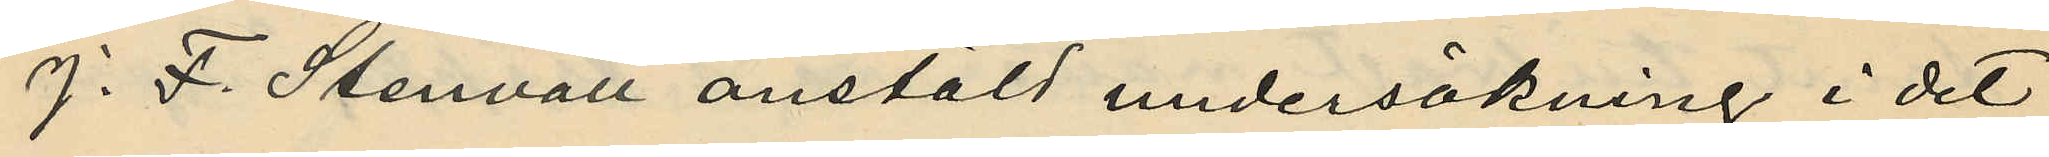J. F. Stenvall anstäld undersökning i det
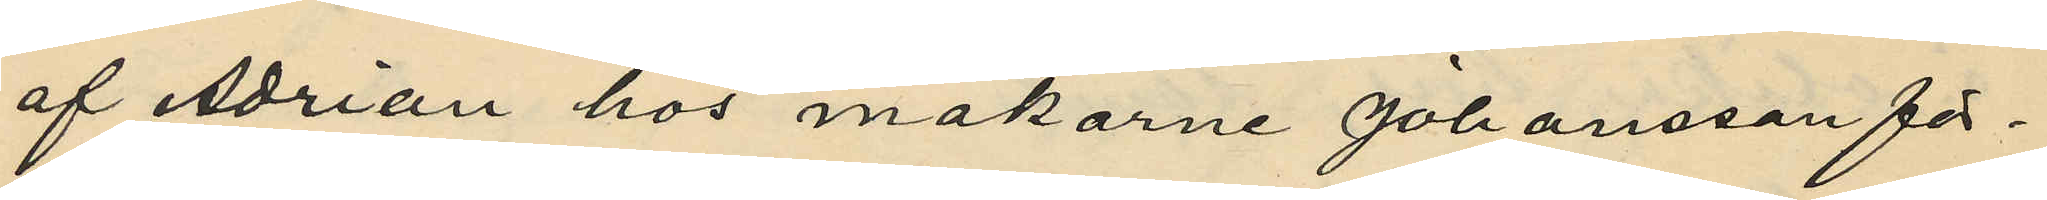af Adrian hos makarne Johansson för¬
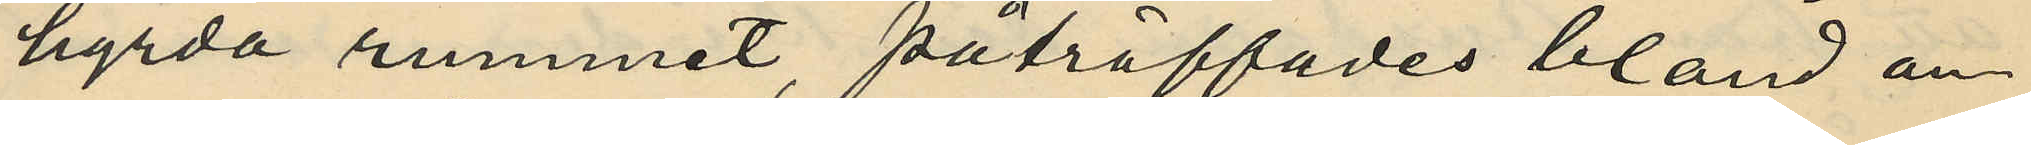hyrda rummet, påträffades bland an¬
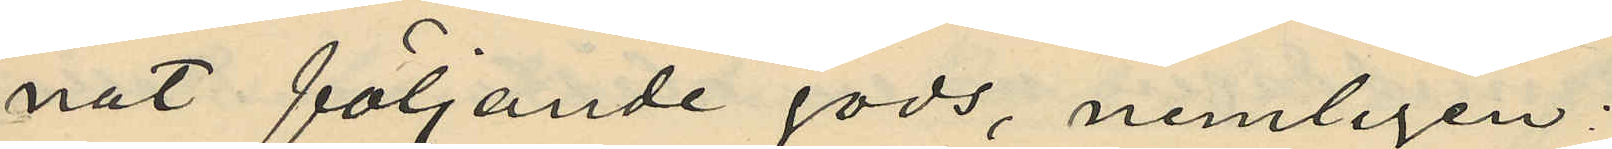nat följande gods, nemligen:
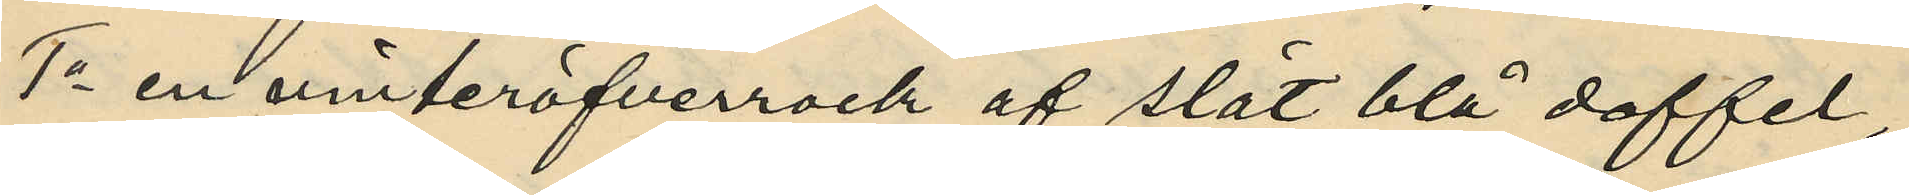1o en vinteröfverrock af slät blå doffel,
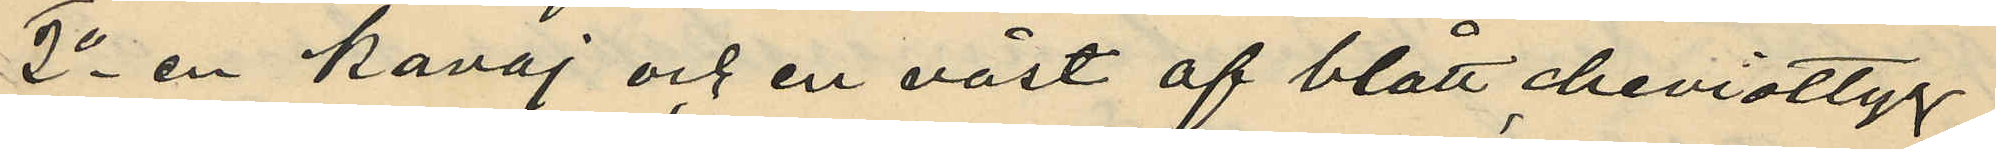2o en kavaj och en väst af blått cheviottyg,
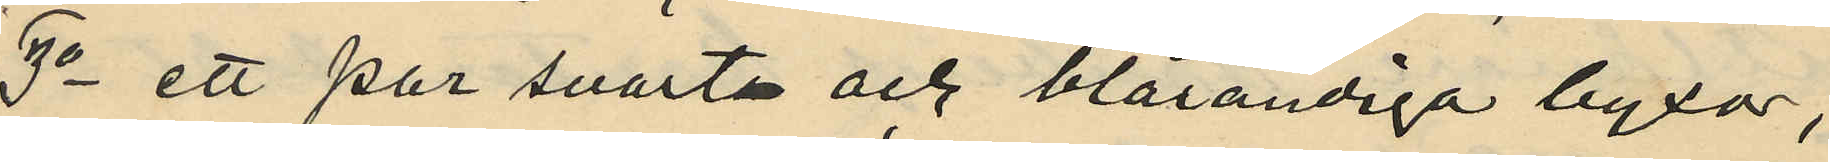3o ett par svarta och blårandiga byxor,
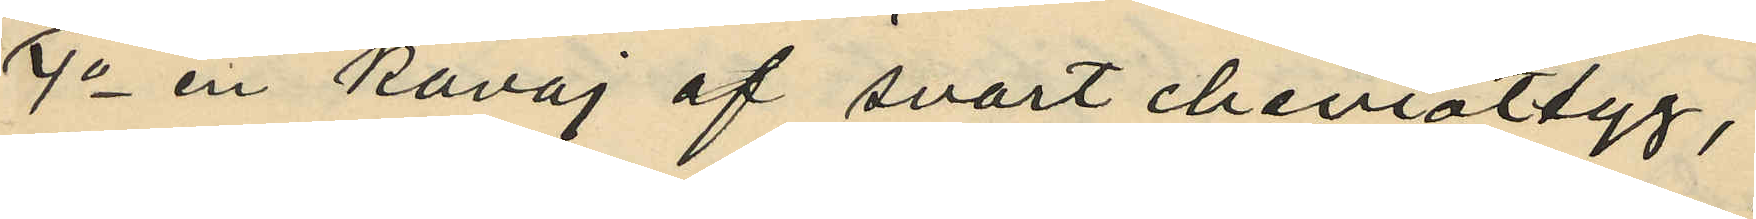4o en kavaj af svart cheviottyg,
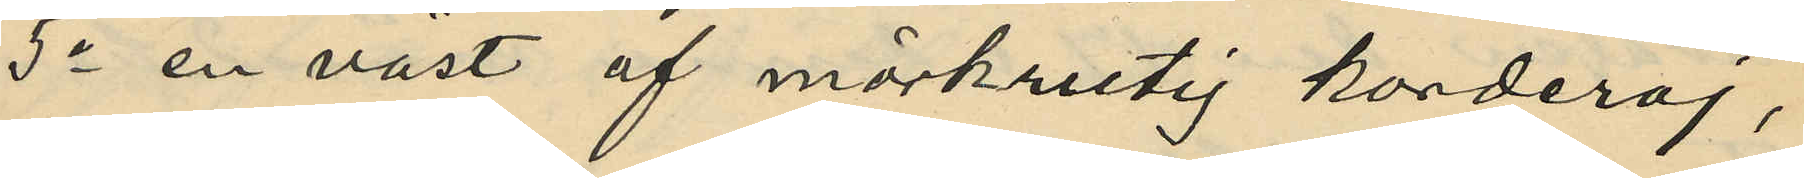5o en väst af mörkrutig korderoj,
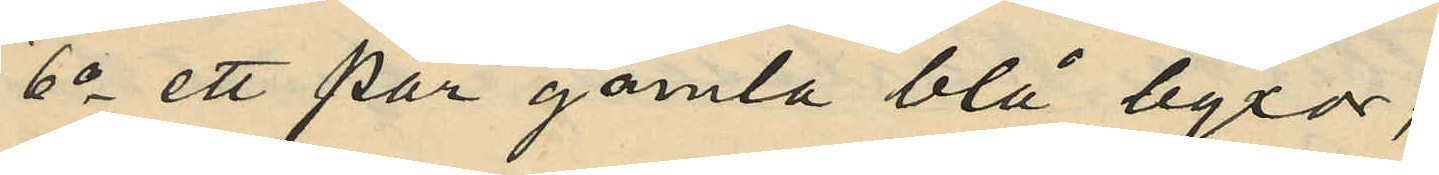6o ett par gamla blå byxor;
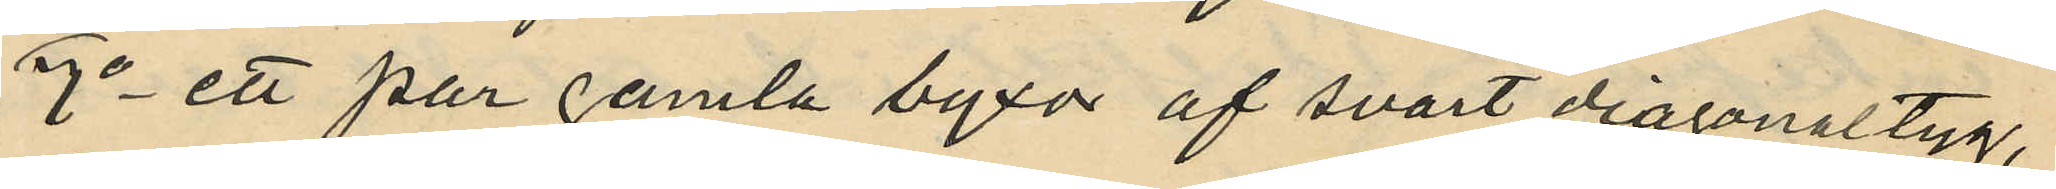7o ett par gamla byxor af svart diagonaltyg,
